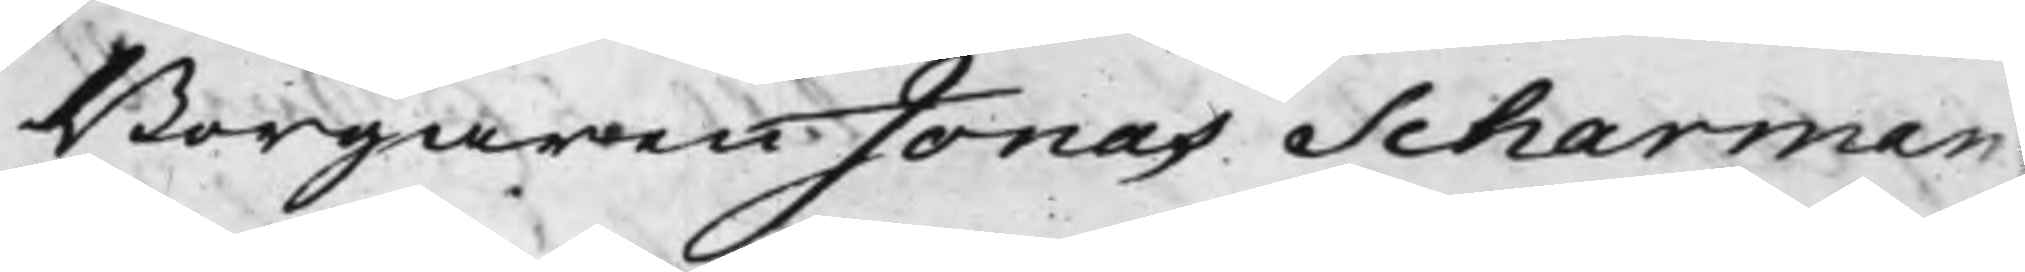Borgaren Jonas Scharman
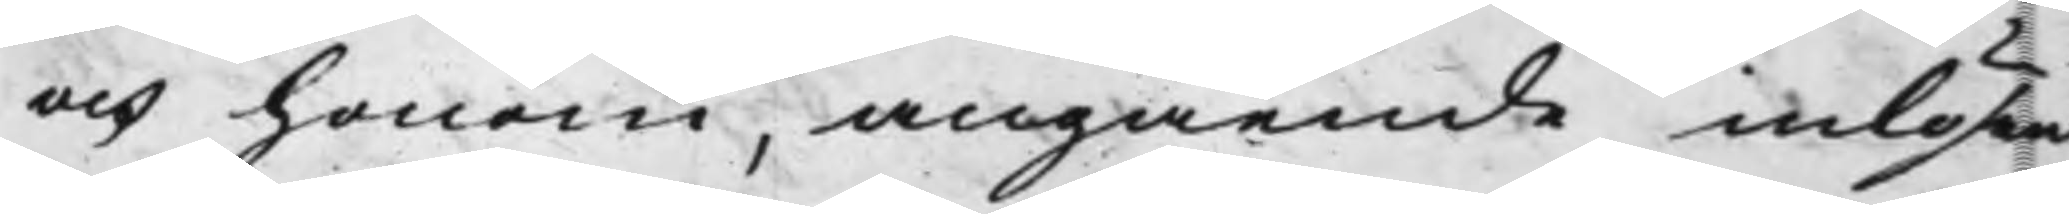och honom, angående inlösen
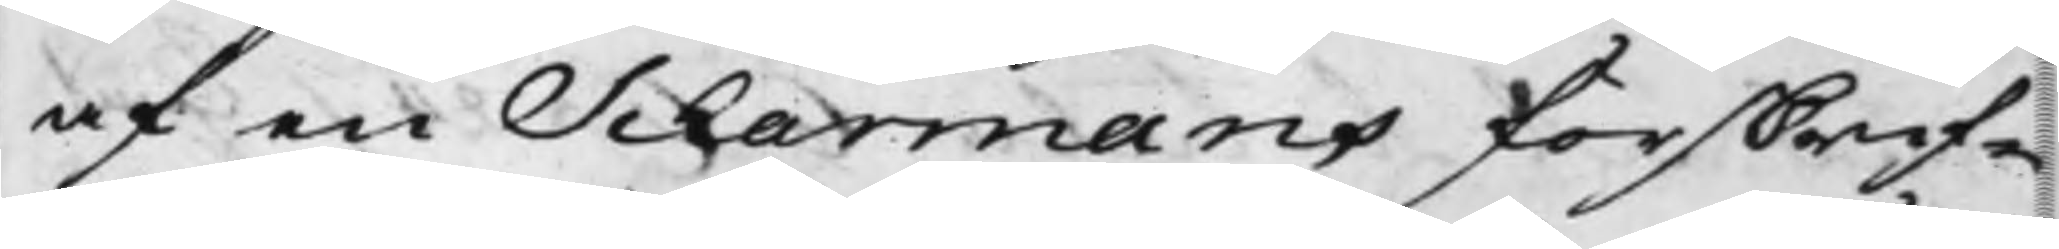af en Scharmans förskrif¬
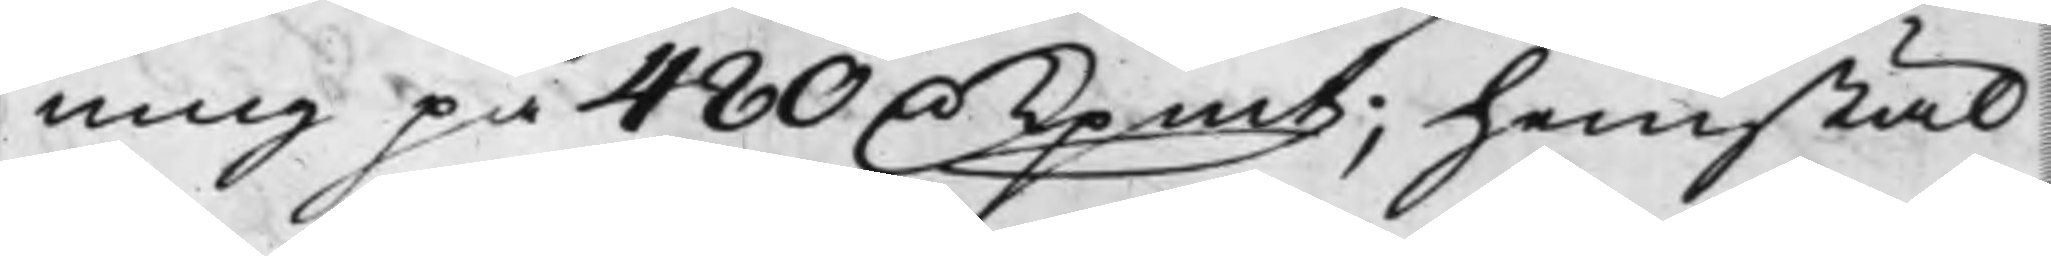ning på 480 D. Kpmt; hemstäl¬
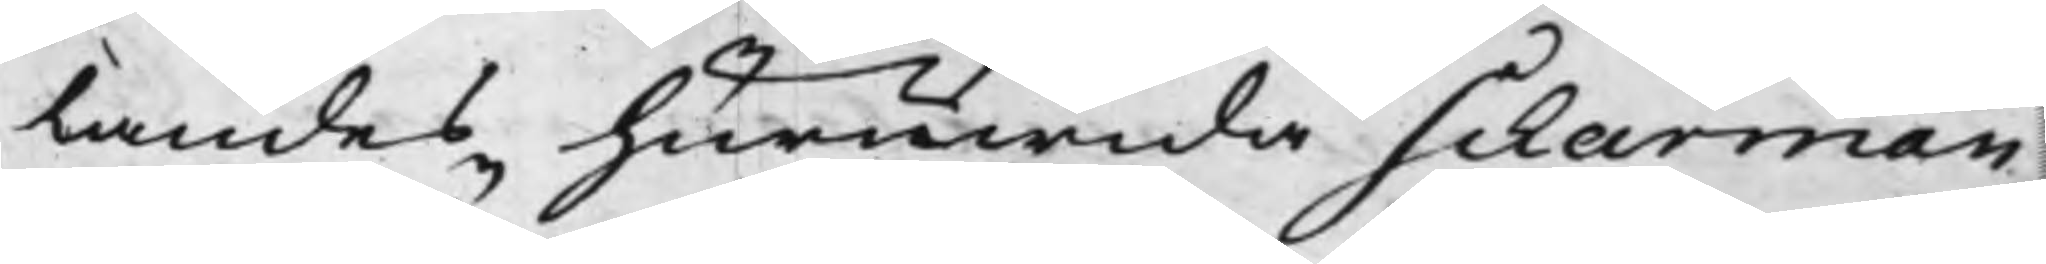landes huruwida Scharman
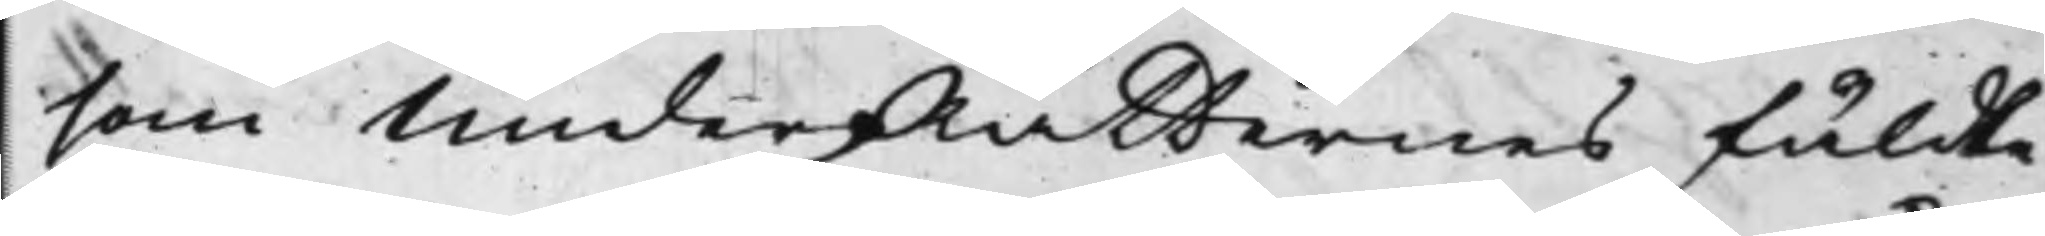som UnderRätternes fäldte
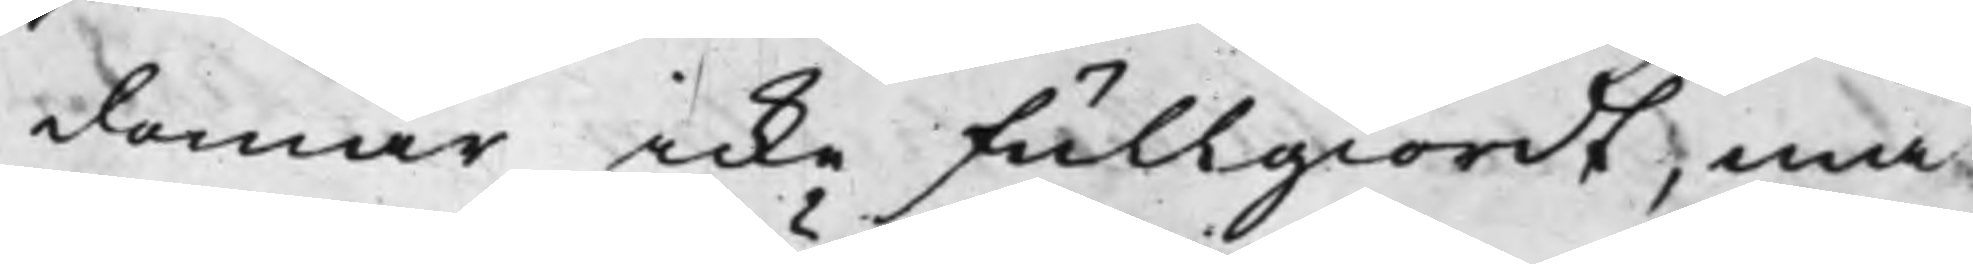domar icke fullgiordt, må
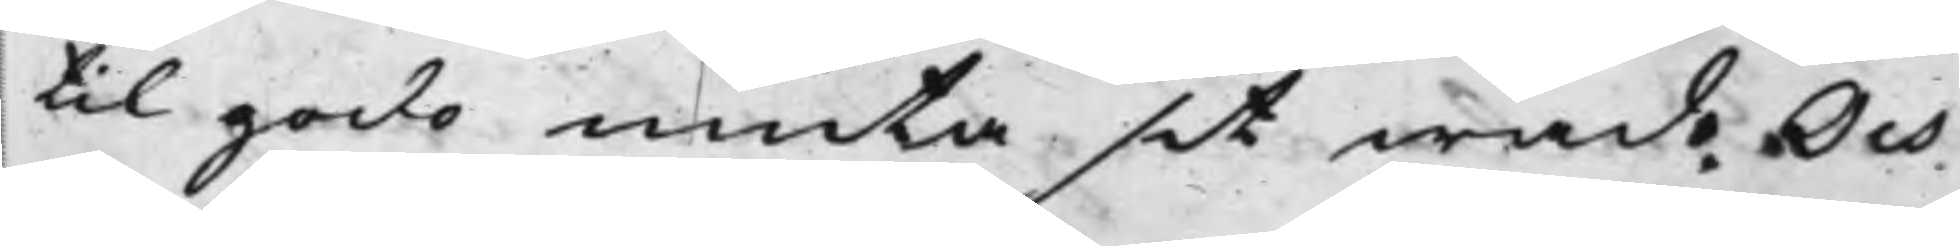til godo niuta sit wad Och
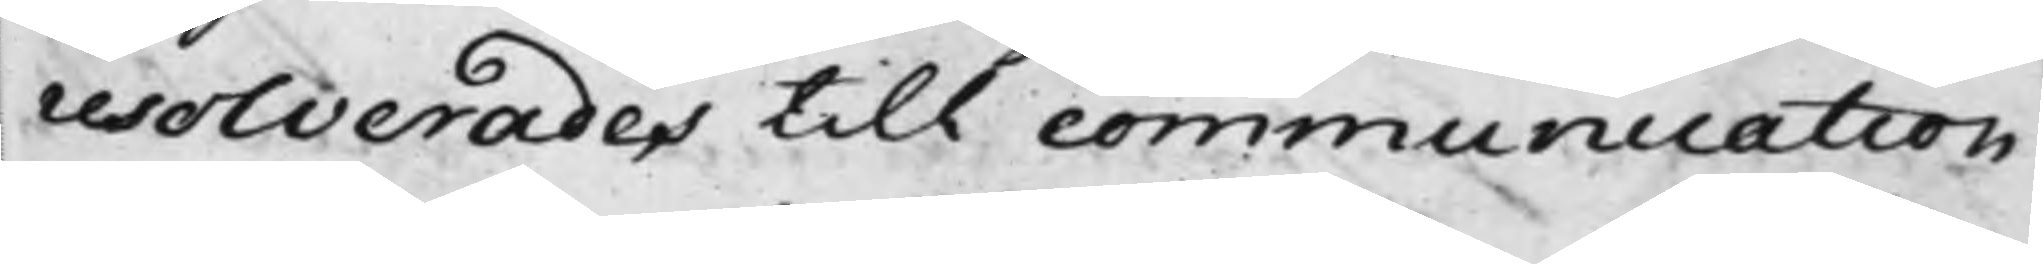resolverades till communication
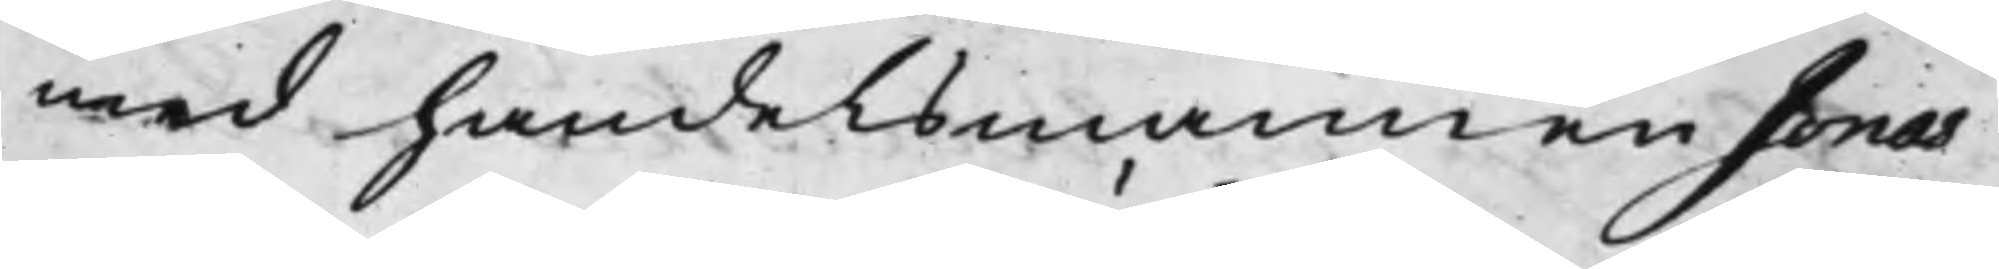med handelsmannen Jonas
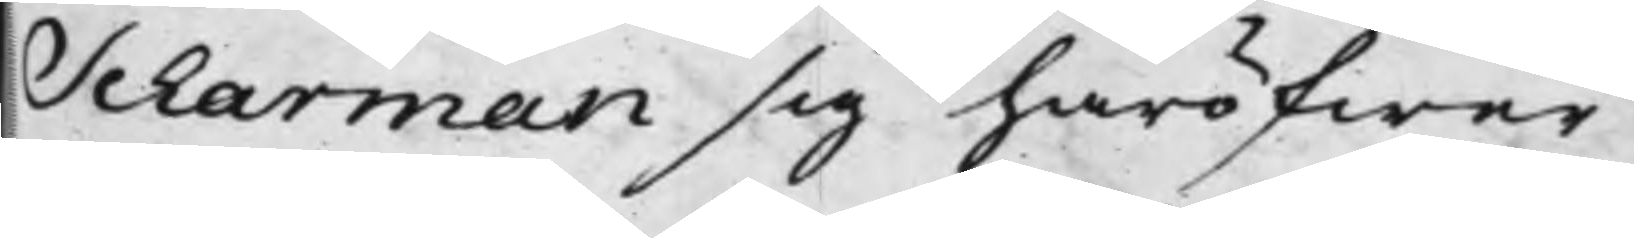Scharman sig häröfwer
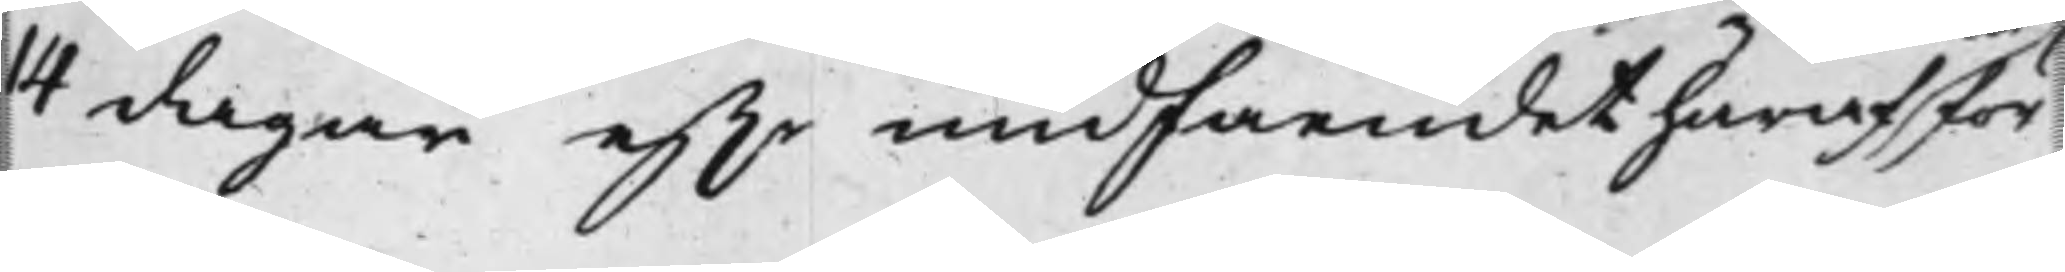14 dagar ef.r undfåendet häraf för¬
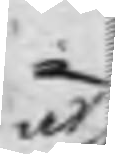at
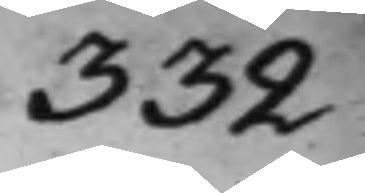332
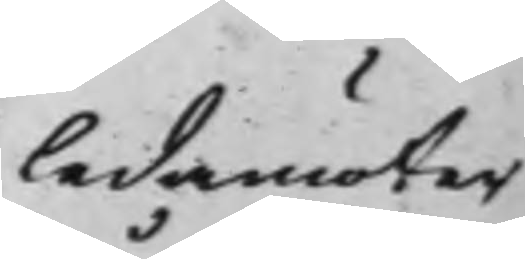ledamöter
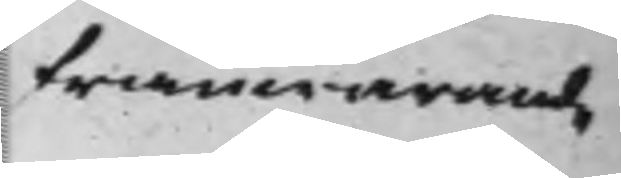frånwarande
